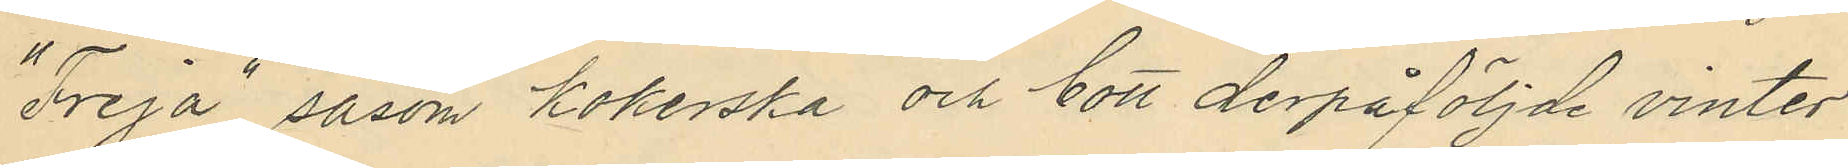"Freja" såsom kokerska och bott derpåföljde vinter
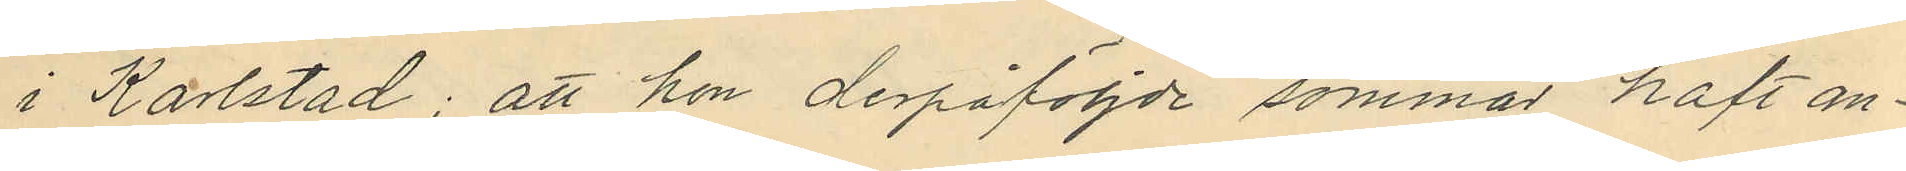i Karlstad; att hon derpåföljde sommar haft an¬
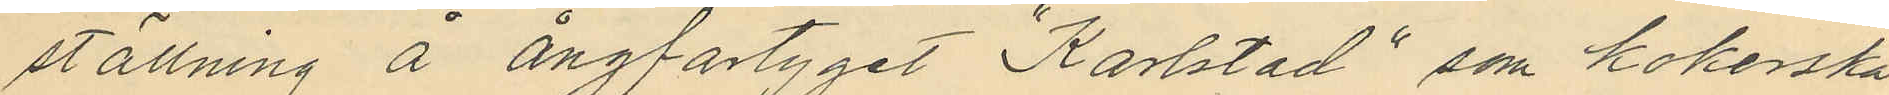ställning å ångfartyget "Karlstad", som kokerska
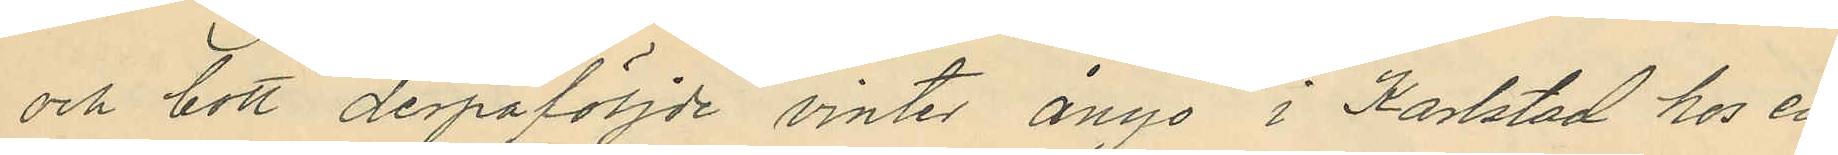och bott derpåföljde vinter ånyo i Karlstad hos en
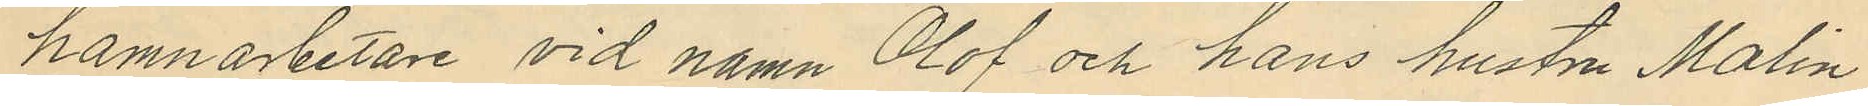hamnarbetare vid namn Olof och hans hustru Malin
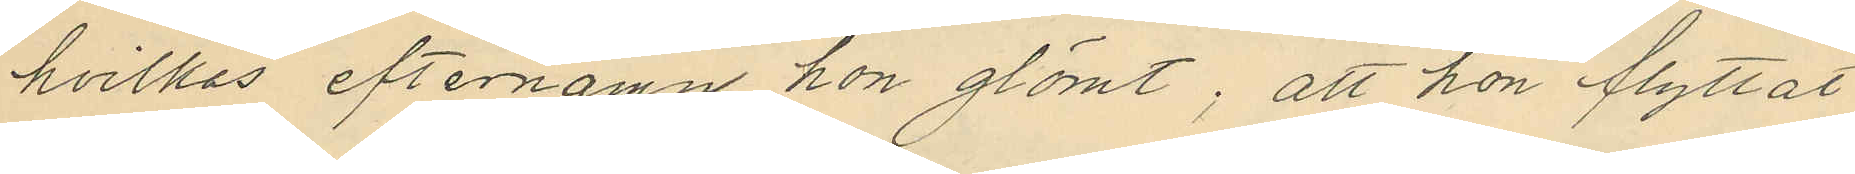hvilkas efternamn hon glömt; att hon flyttat
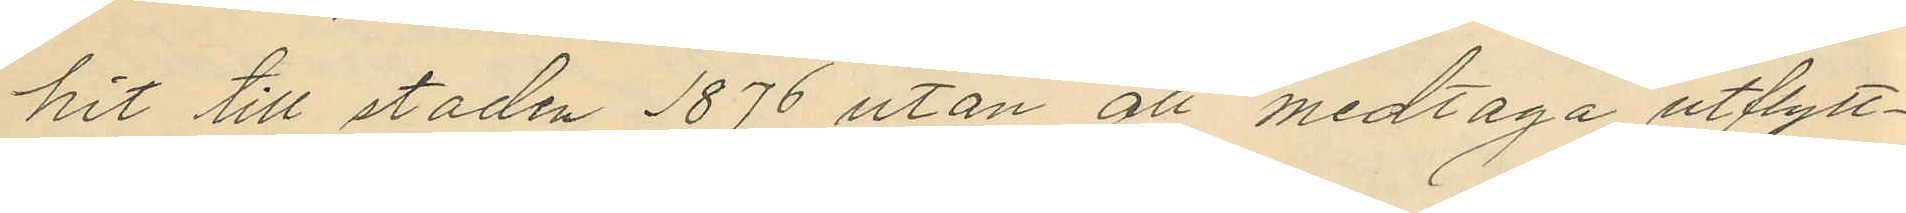hit till staden 1876 utan att medtaga utflytt¬
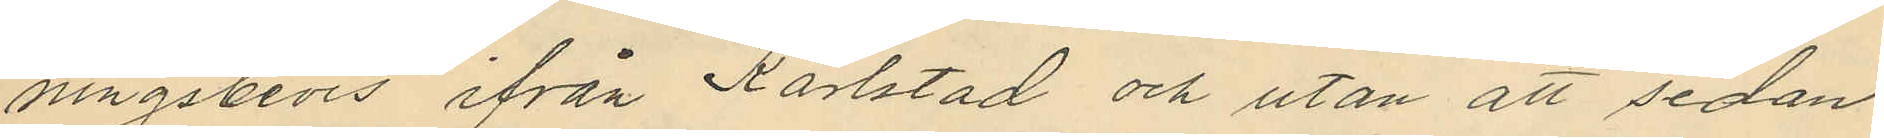ningsbevis, ifrån Karlstad och utan att sedan
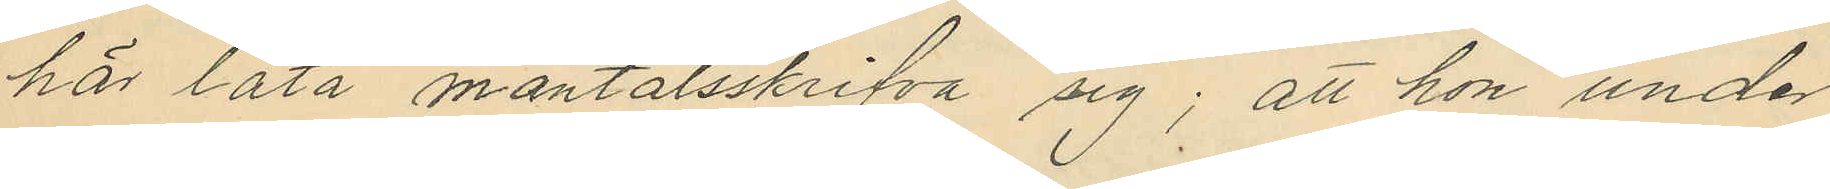här låta mantalsskrifva sig; att hon under
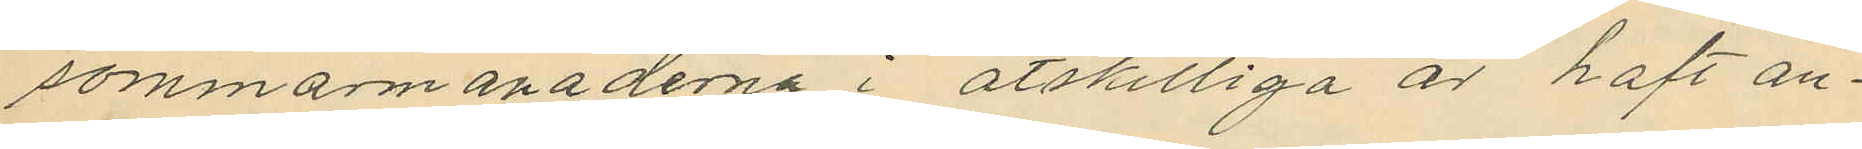sommarmånaderna i åtskilliga år haft an¬
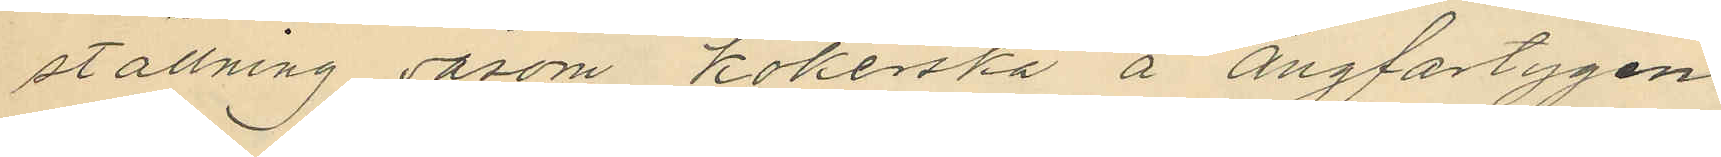ställning såsom kokerka å ångfartygen
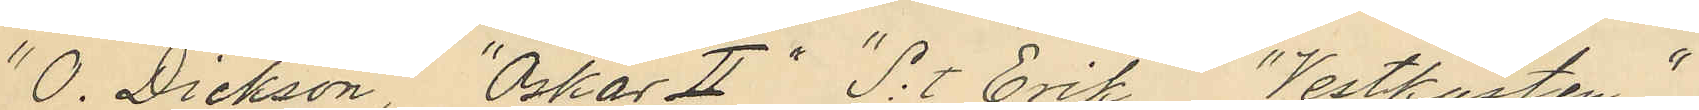"O. Dickson," "Oskar II," "S:t Erik,"  "Vestkusten,"
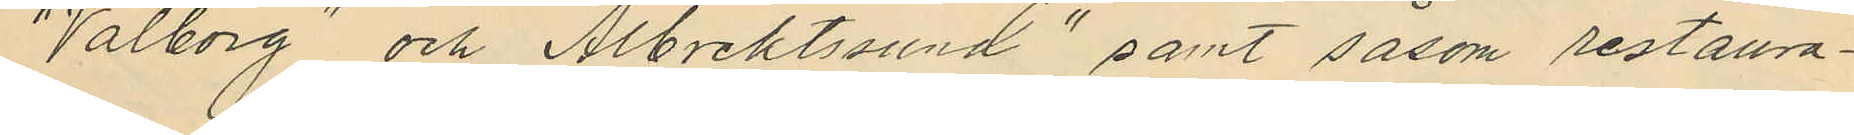"Valborg" och "Albrektssund" samt såsom restaura¬
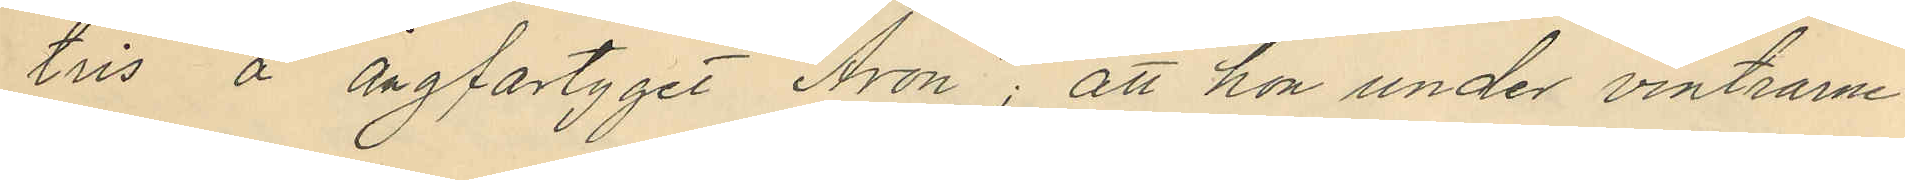tris å ångfartyget "Aron", att hon under vintrarne
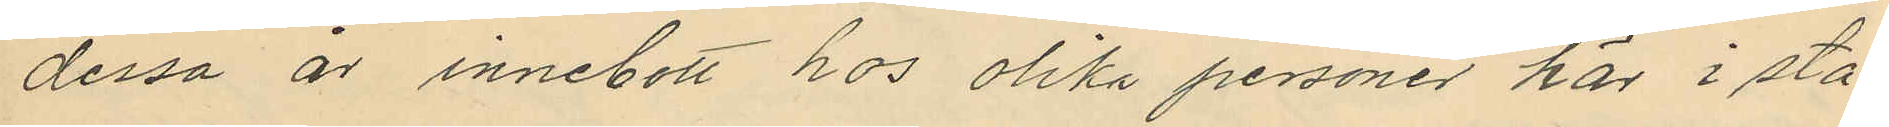dessa år innebott hos olika personer här i sta¬
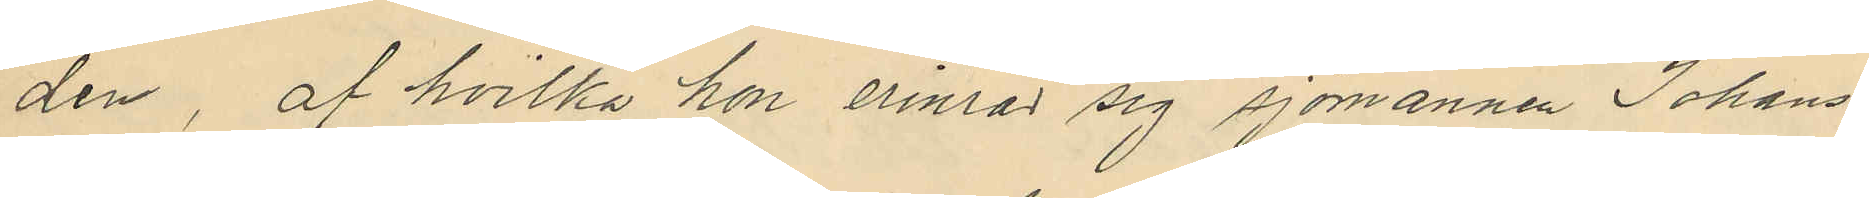den af hvilka hon erinra sig sjömannen Johans¬
